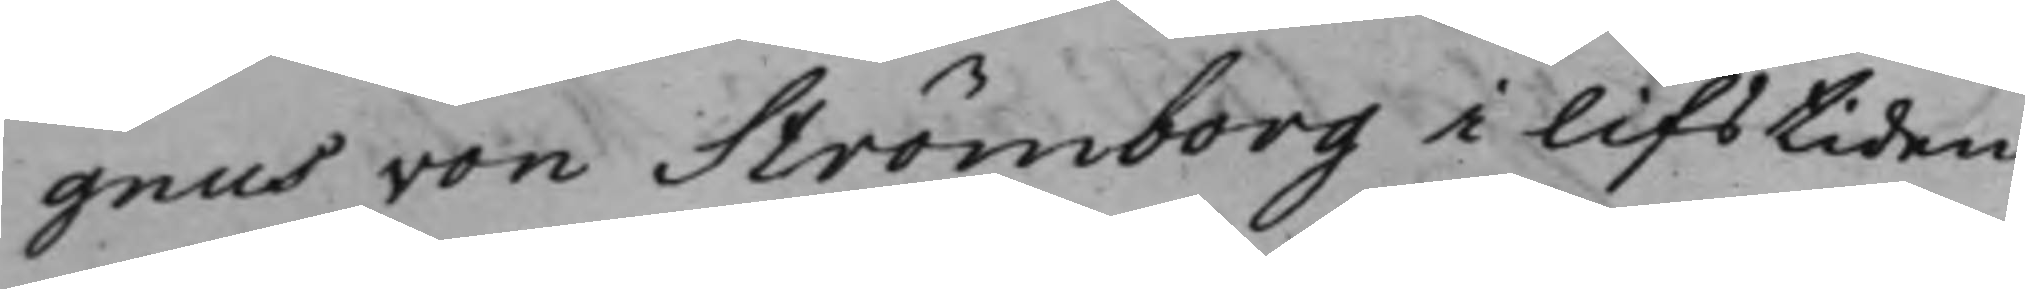gnus von Strömborg i lifstiden
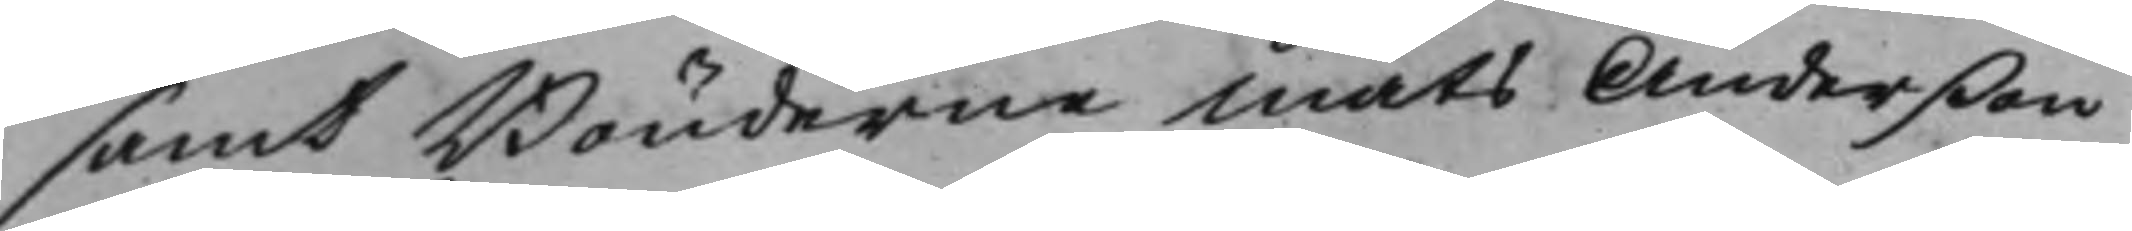samt Bönderne Mats Anderßon
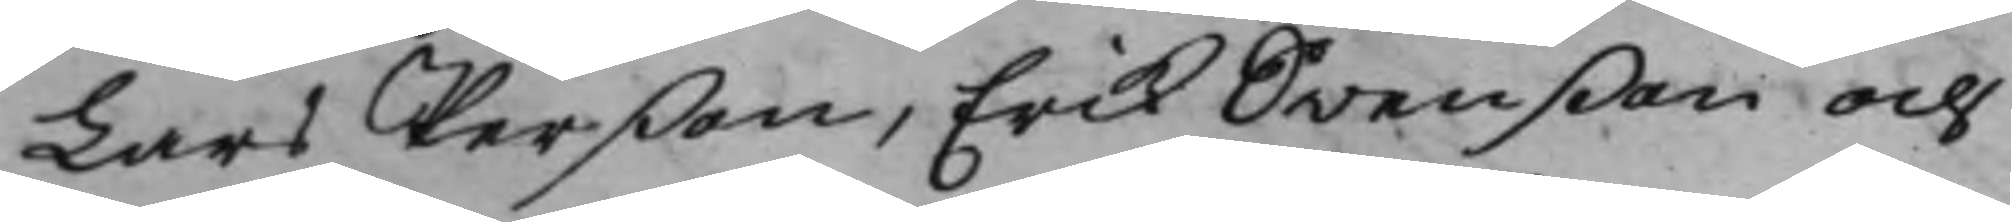Lars Perßon, Erik Swenßon och
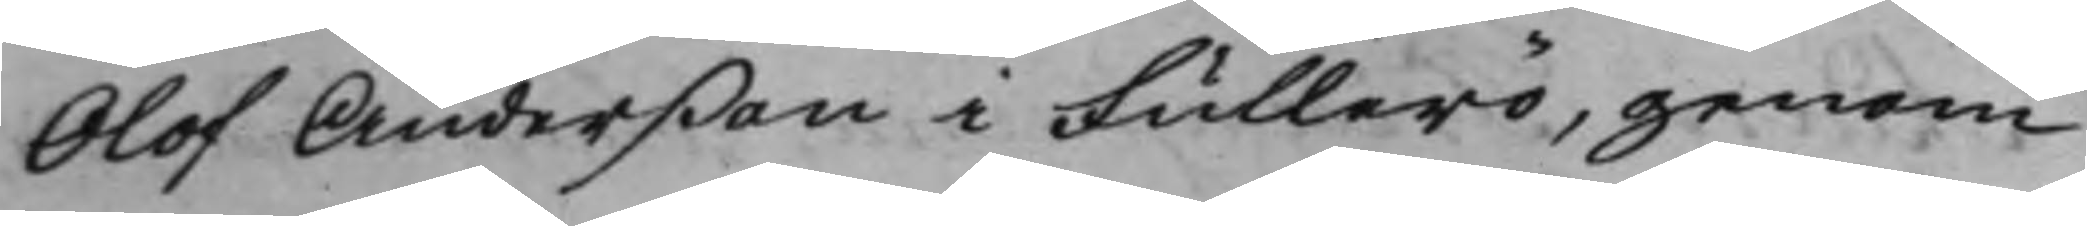Olof Anderßon i Fullerö, genom
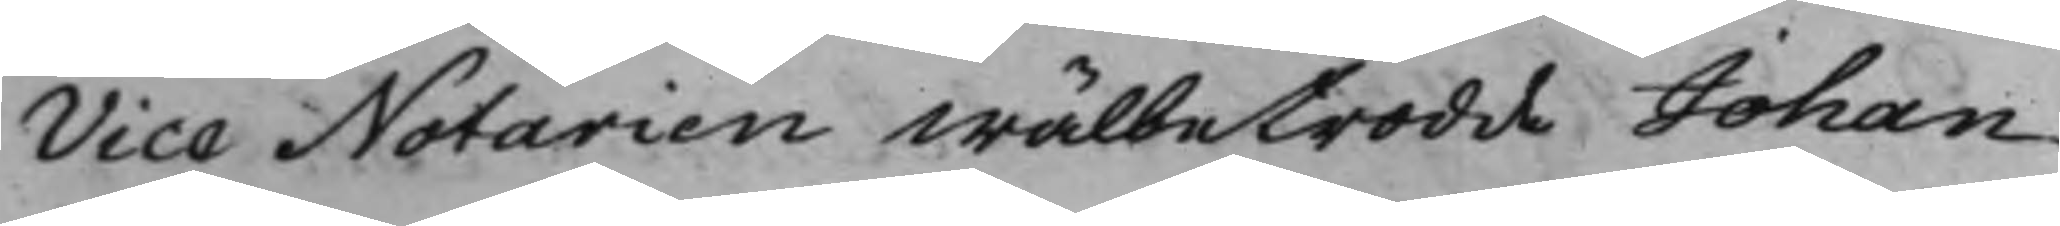Vice Notarien Wälbetrodde Johan
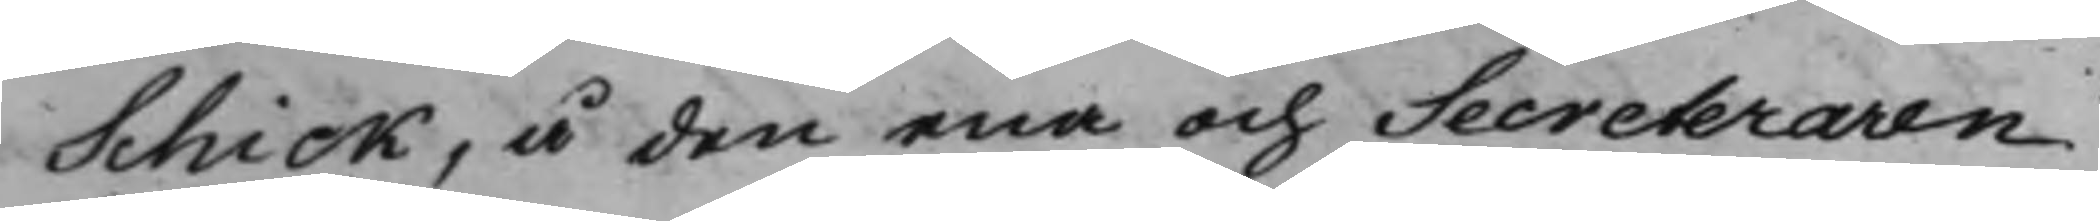Schick, å den ena och Secreteraren
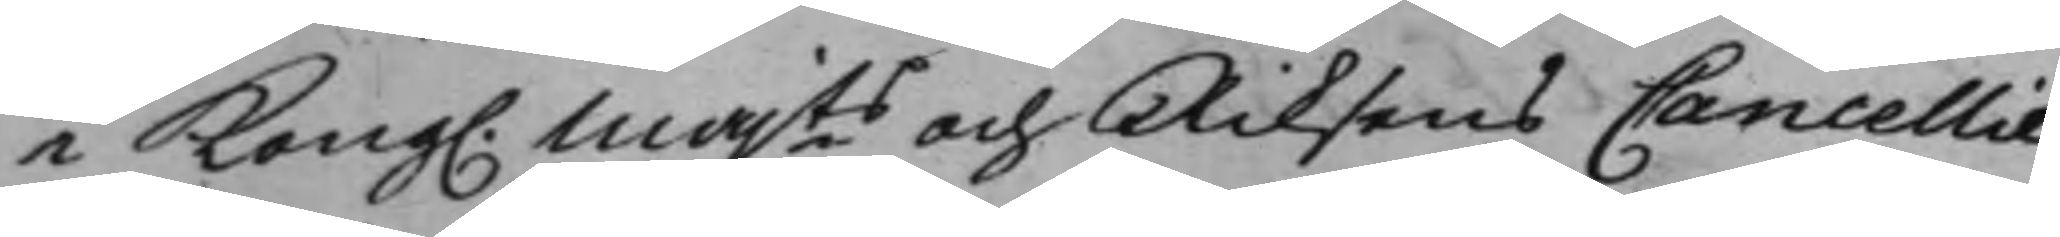i Kong. Majts och Riksens Cancellie¬
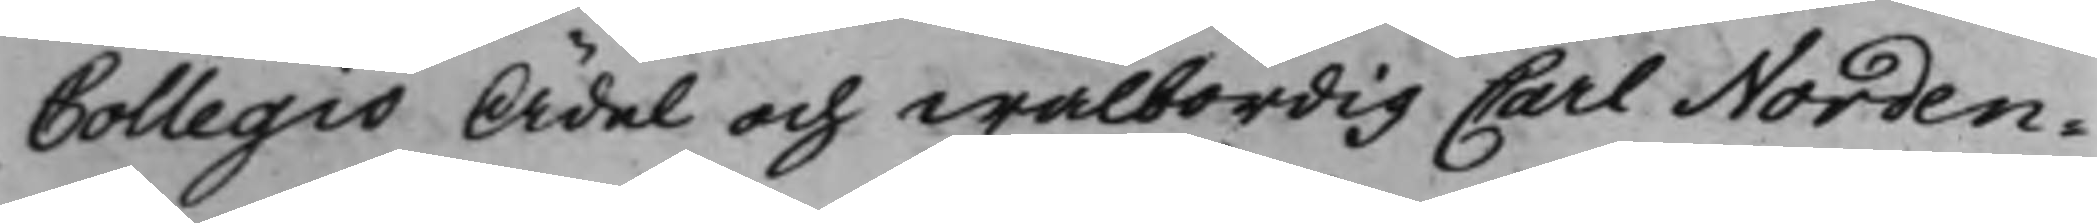Collegio Ädel och wälbördig Carl Norden¬
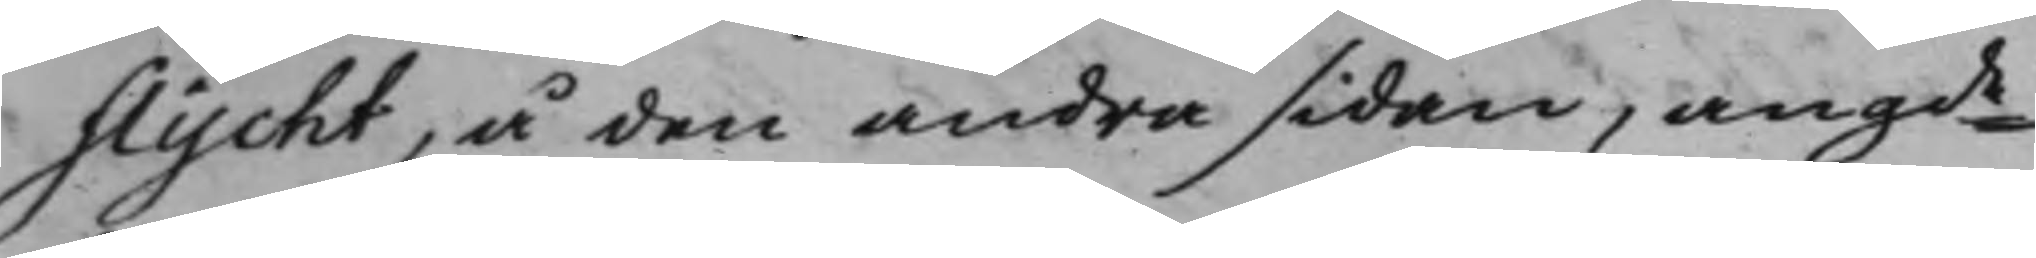flycht, å den andra sidan, angde
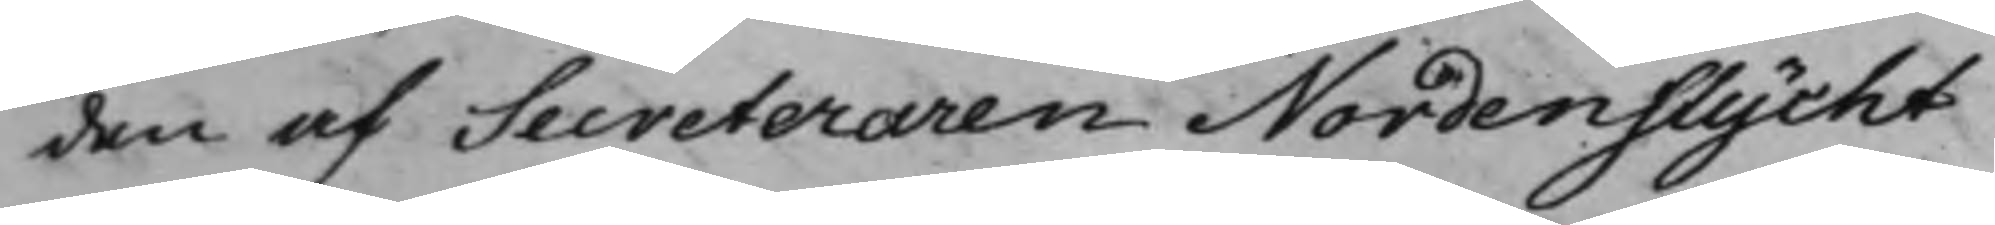den af Secreteraren Nordenflycht
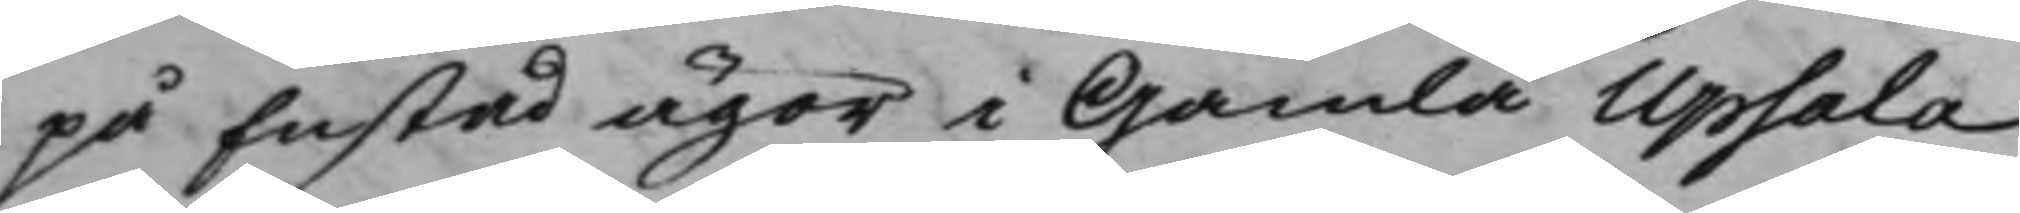på Enstad ägor i Gamla Upsala
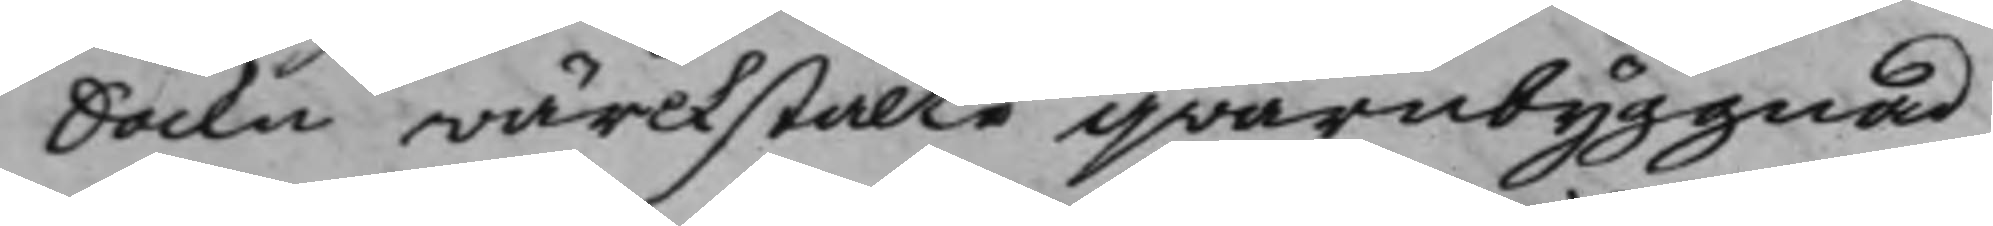Sockn wärckstälte qwarnbyggnad
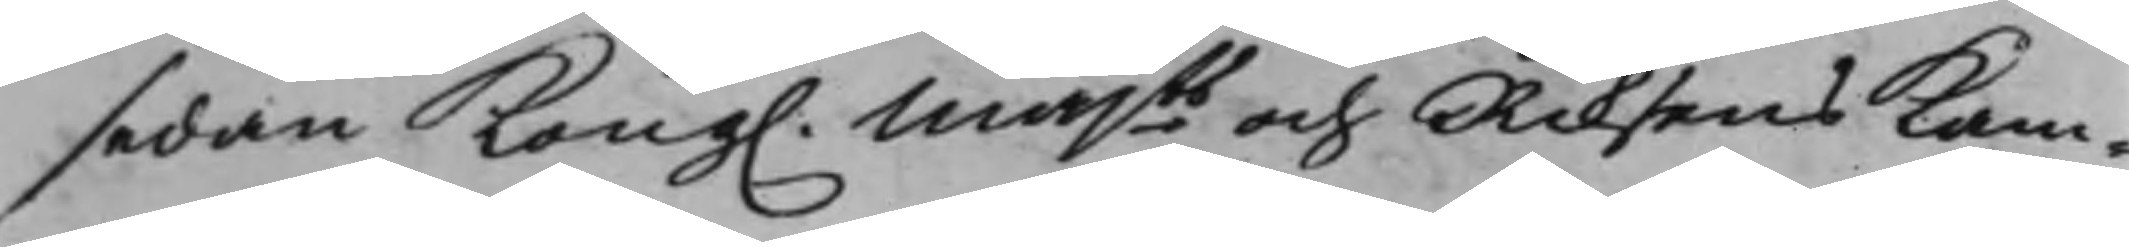sedan Kong. Majts och Riksens Kam¬
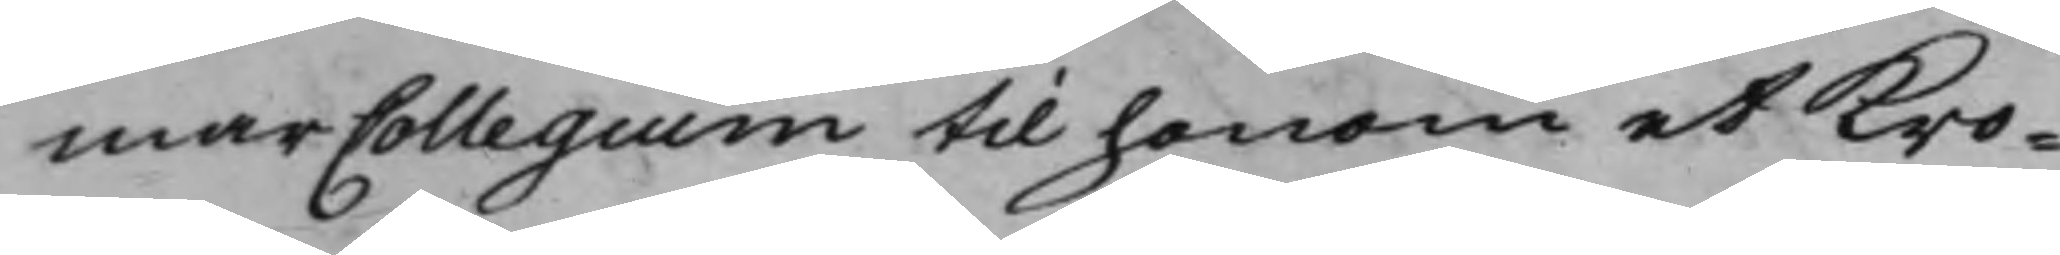marCollegium till honom et Kro¬
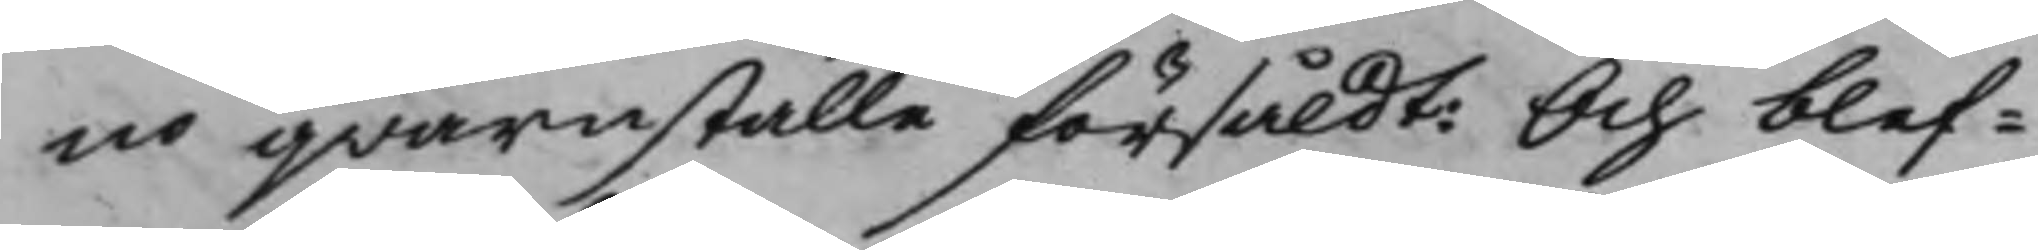no qwarnställe försåldt: Och blef¬
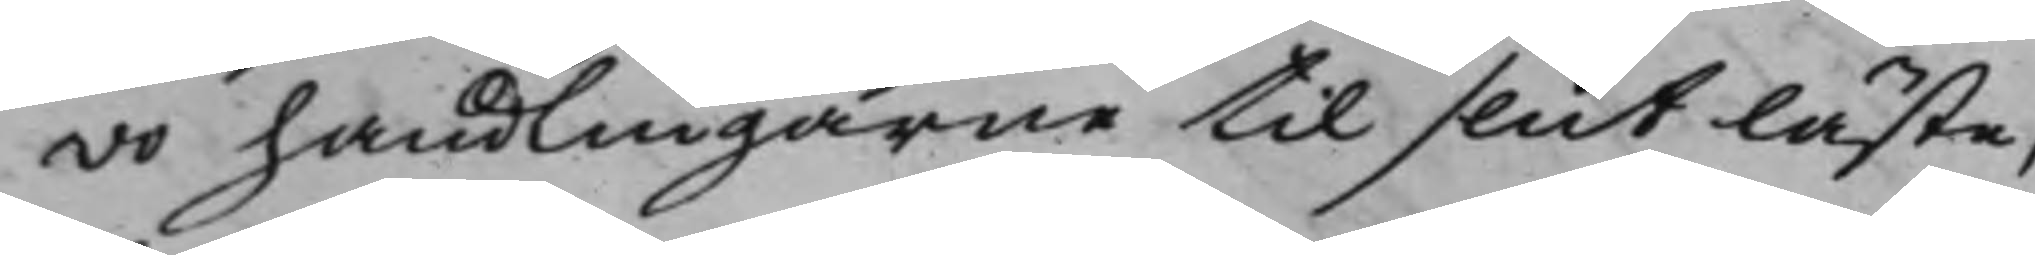vo handlingarne til slut läste,
